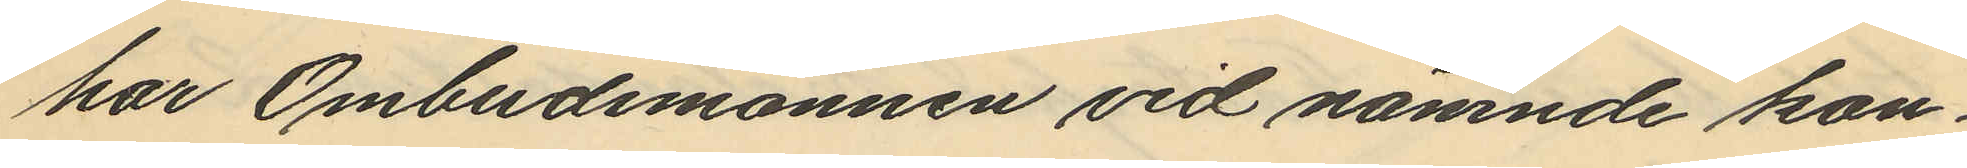har Ombudsmannen vid nämnde kon¬
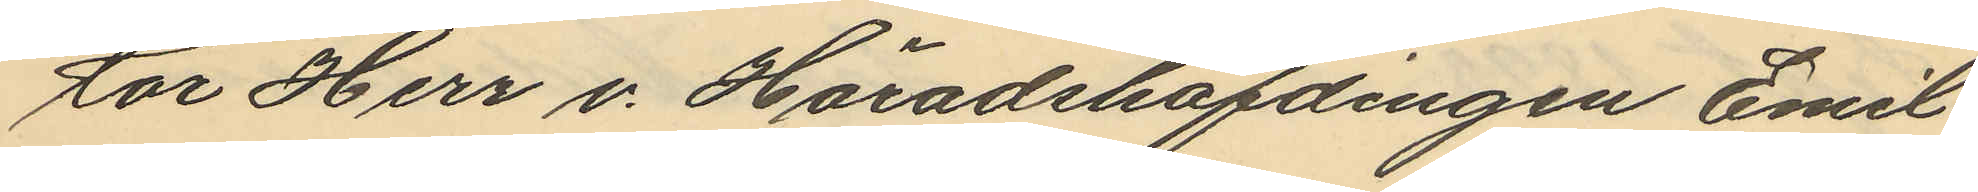tor Herr v. Häradshöfdingen Emil
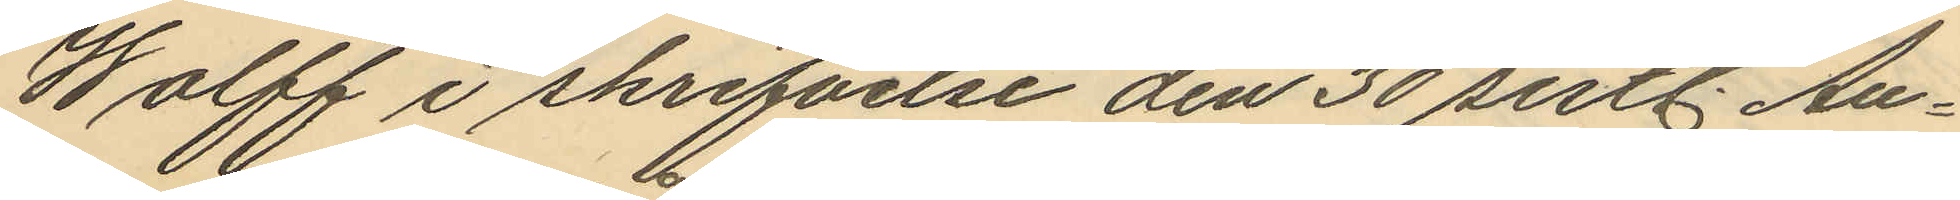Holff i skrifvelse den 30 sistl. Au¬
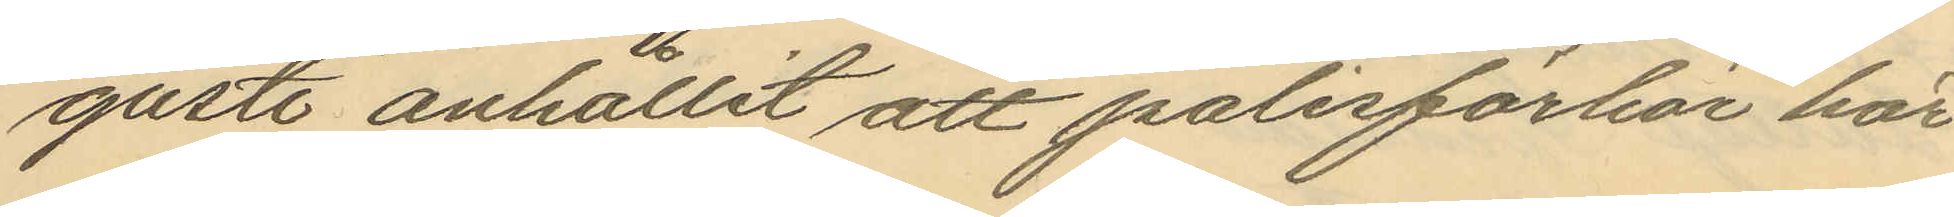gusti anhållit att polisförhör här
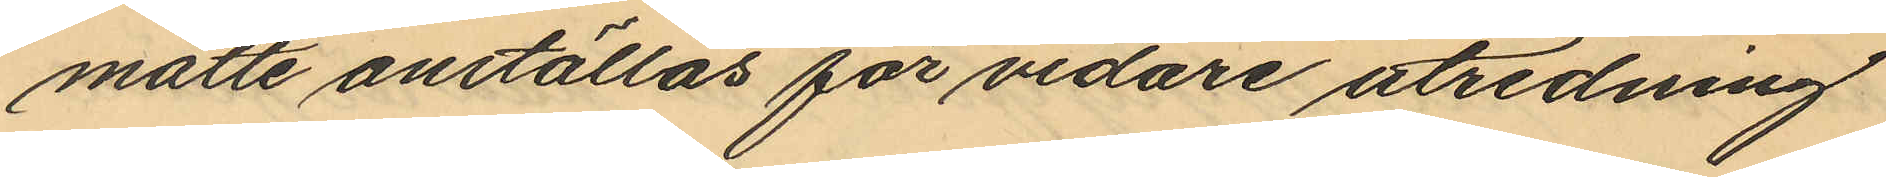måtte anställas för vidare utredning
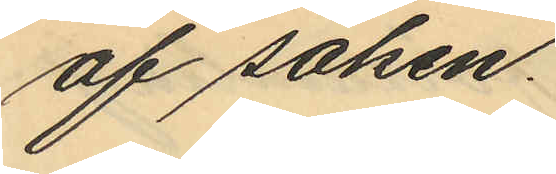af saken.
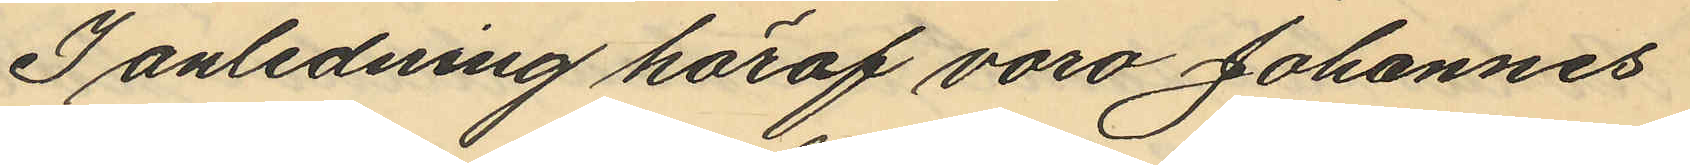I anledning häraf voro Johannes
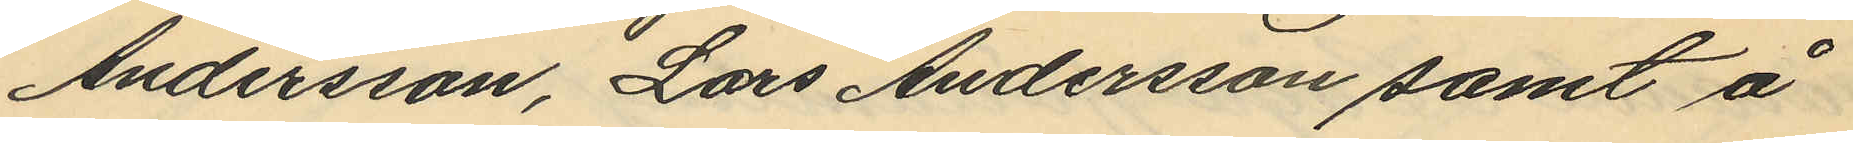Andersson, Lars Andersson samt å
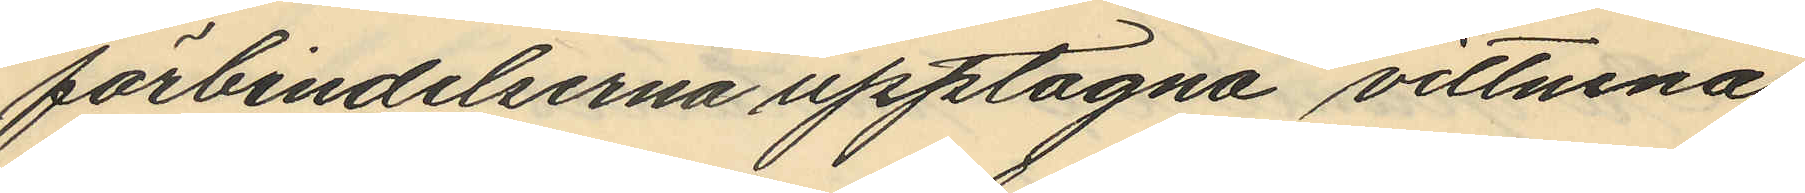förbindelserna upptagna vittnena
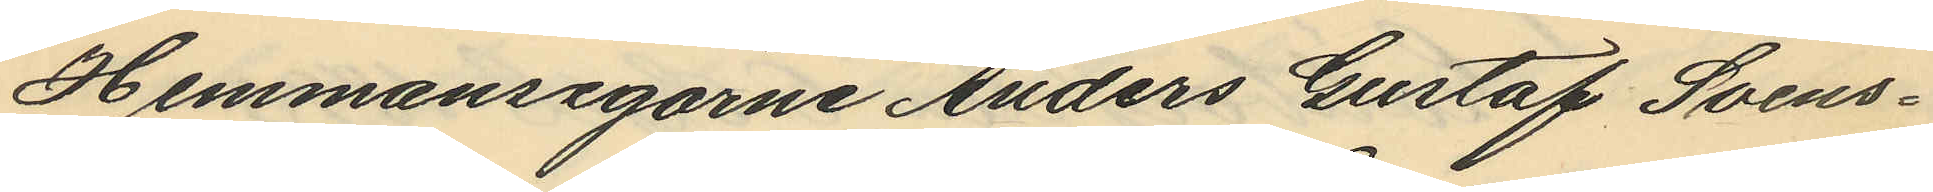Hemmansägarne Anders Gustaf Svens¬
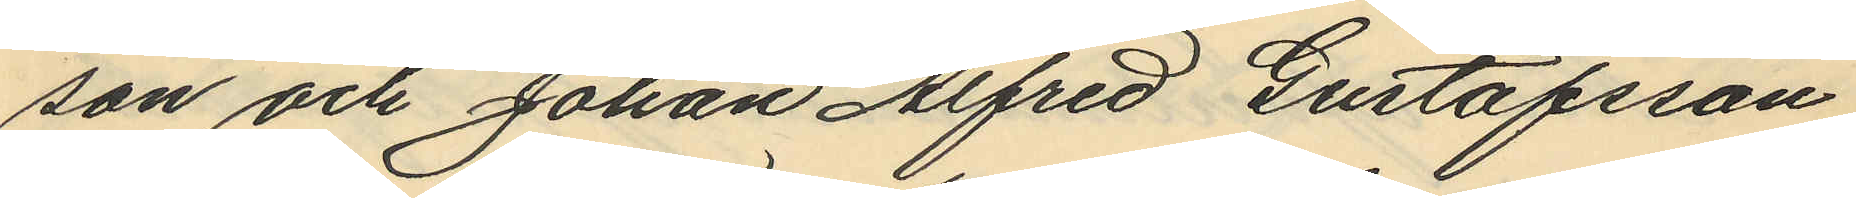son och Johan Alfred Gustafsson
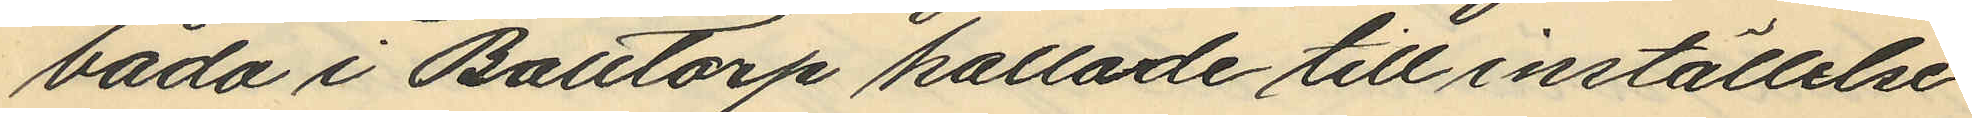båda i Balltorp kallade till inställelse
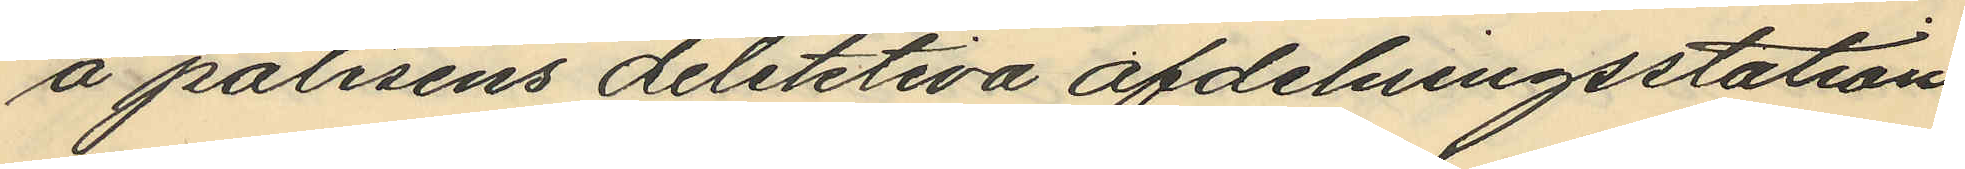å polisens deletitiva afdelningsstation
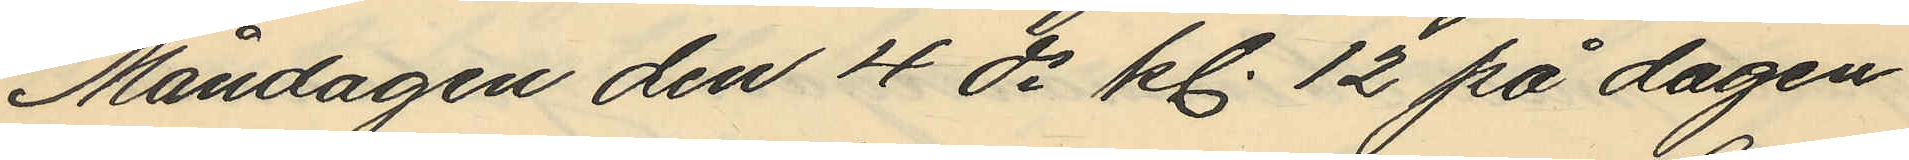Måndagen den 4 ds kl. 12 på dagen
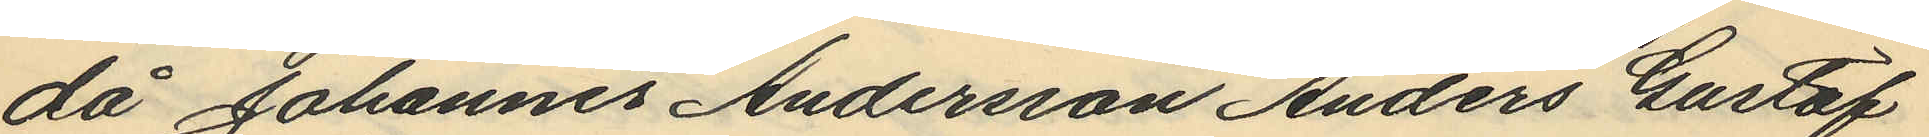då Johannes Andersson Anders Gustaf
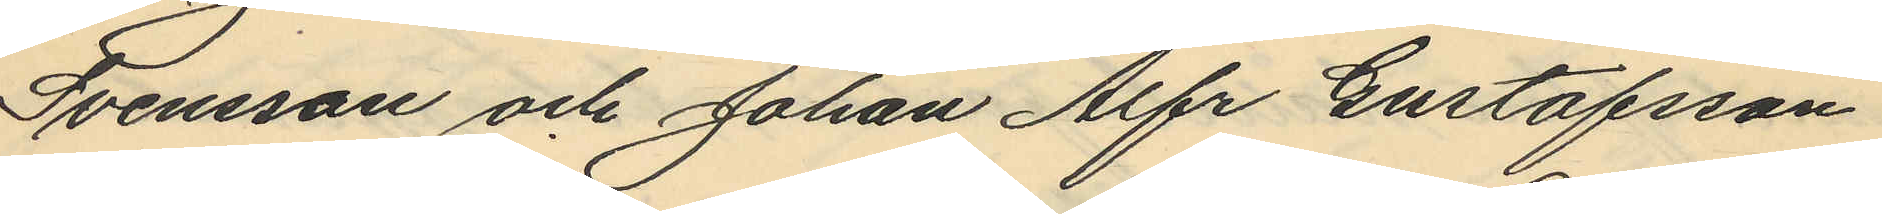Svensson och Johan Alfr Gustafsson
